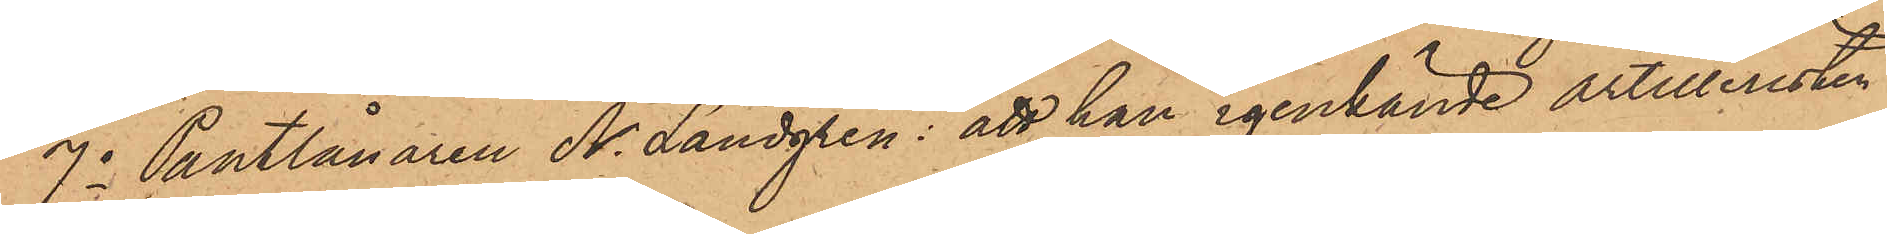7o Pantlånaren N. Landgren: att han igenkände artilleristen
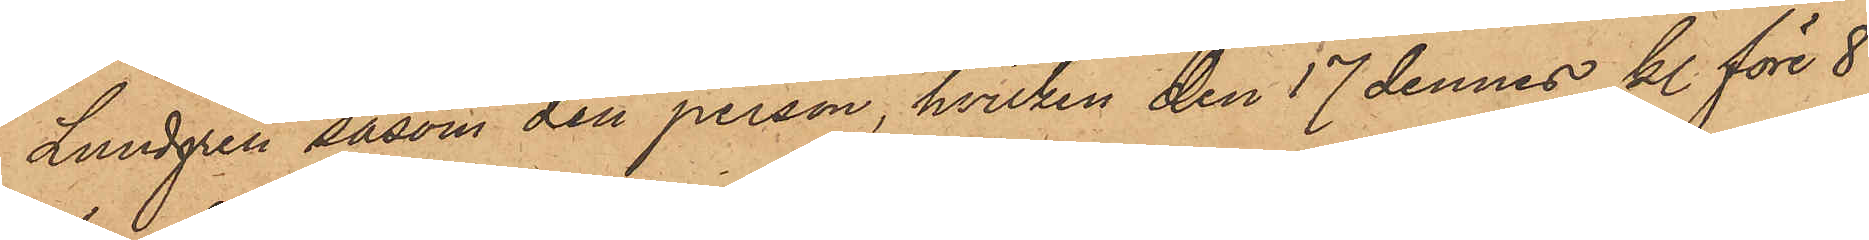Lundgren såsom den person, hvilken den 17 dennes kl. före 8
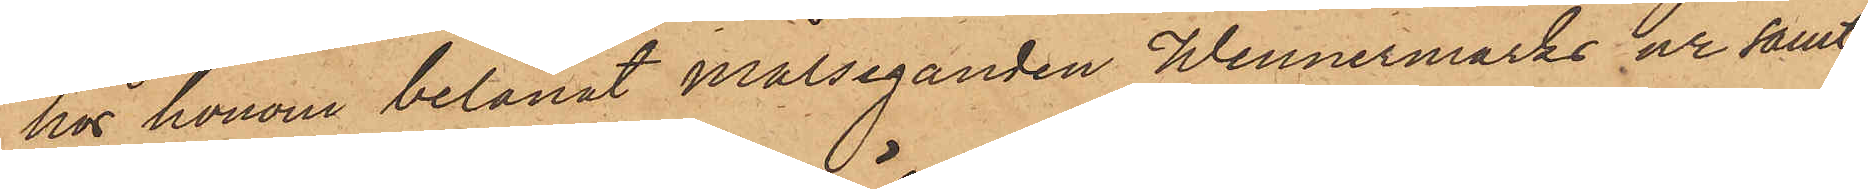hos honom belånat målseganden Wennermarks ur samt
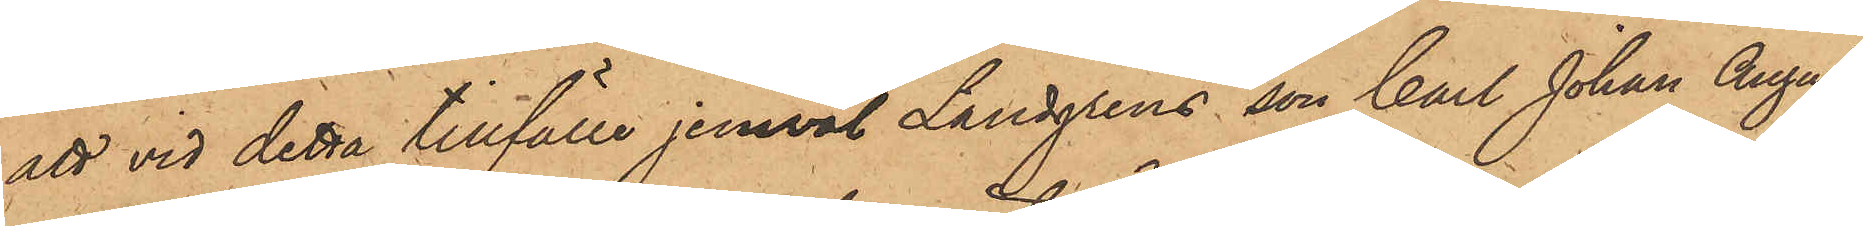att vid detta tillfälle jemväl Lundgrens son Carl Johan August
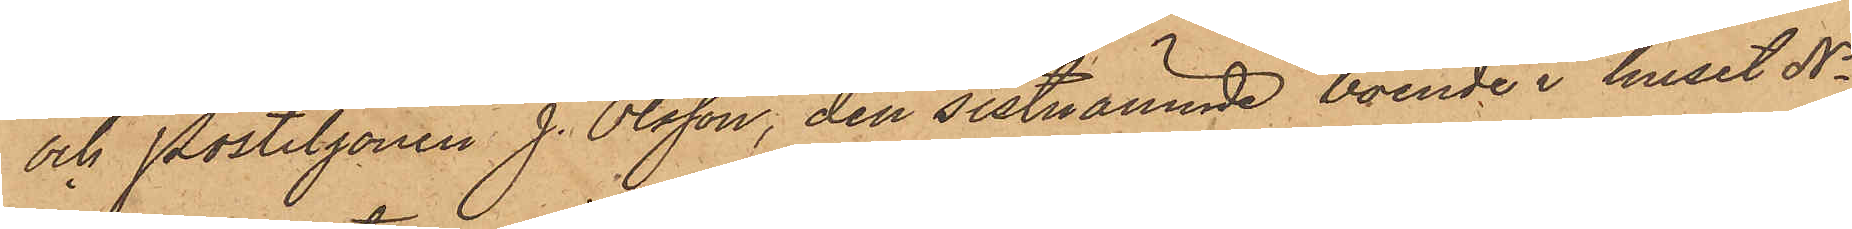och Postiljonen J. Olsson, den sistnämnde boende i huset No
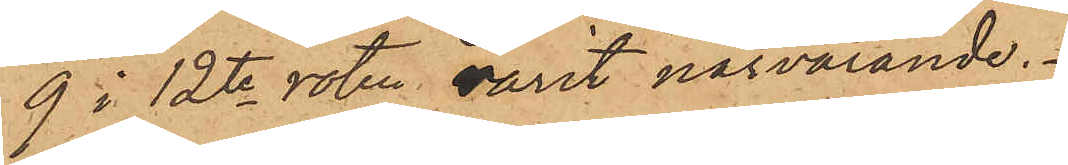9 i 12te roten varit närvarande.
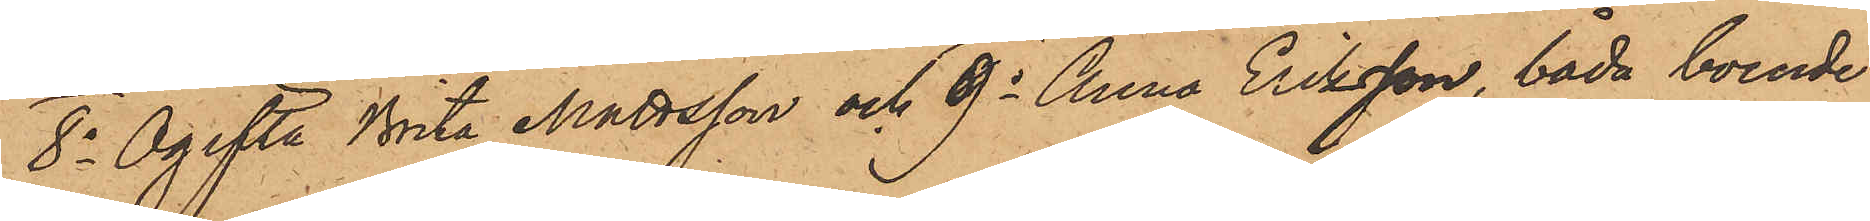8o Ogifta Brita Mattsson och 9o Anna Eriksson, båda boende
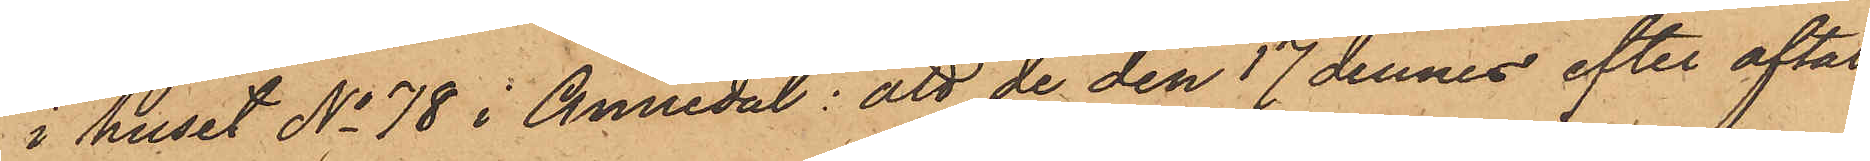i huset No 78 i Annedal; att de den 17 dennes efter aftal
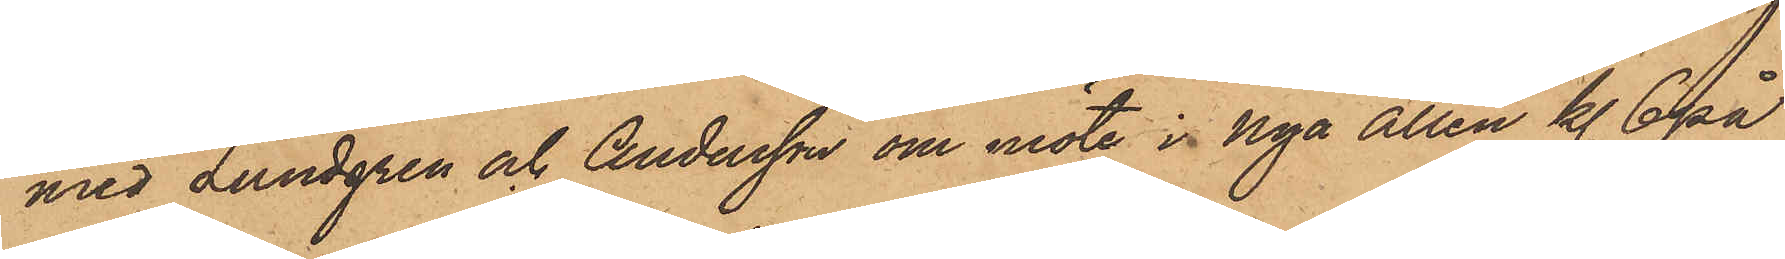med Lundgren och Andersson om möte i Nya Allén kl. 6 på
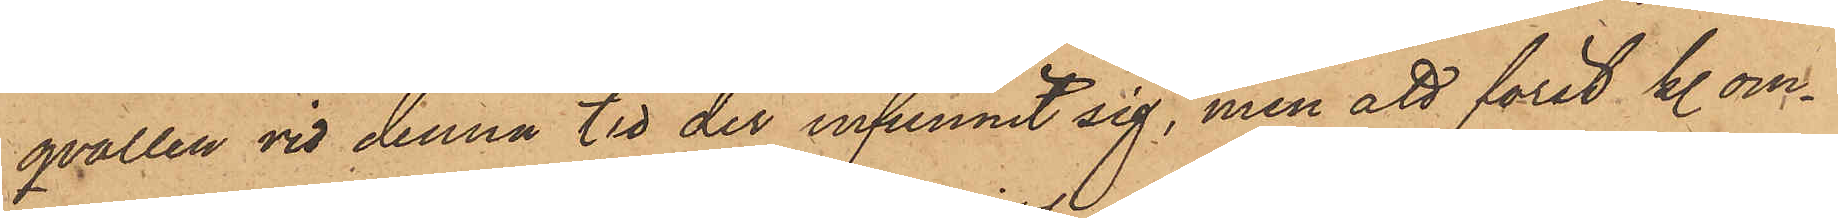qvällen vid denna tid der infunnit sig, men att först kl. om¬
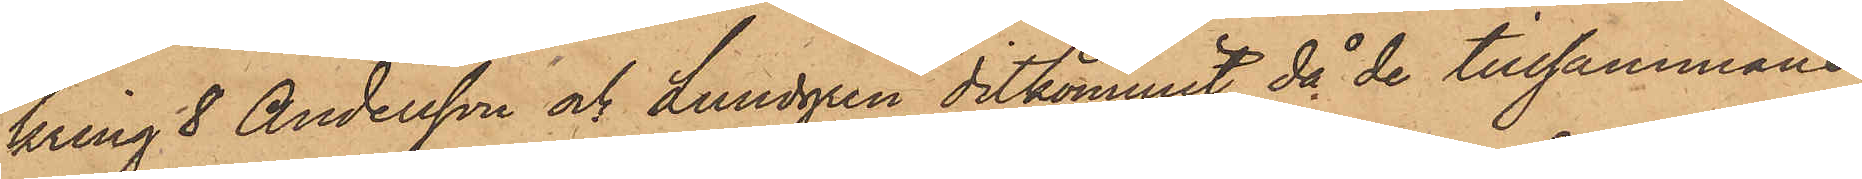kring 8 Andersson och Lundgren ditkommit, då de tillsammans
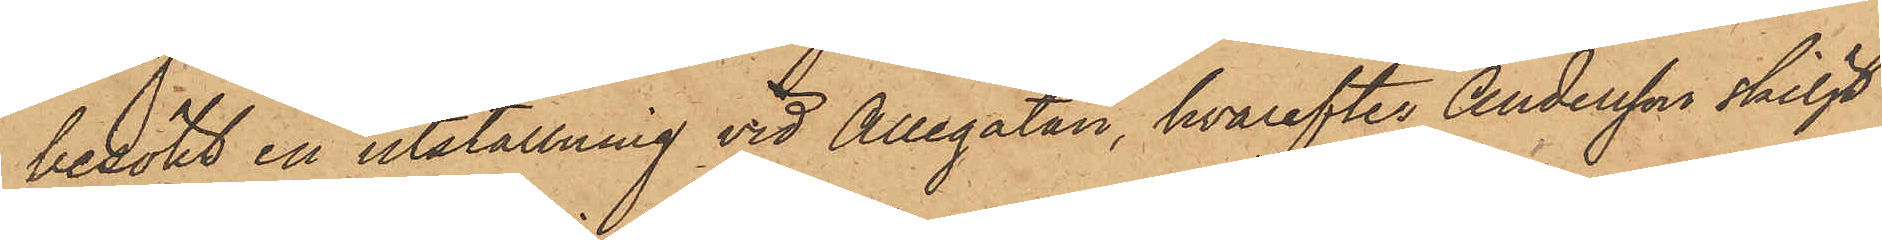besökt en utställning vid Allégatan, hvarefter Andersson skiljt
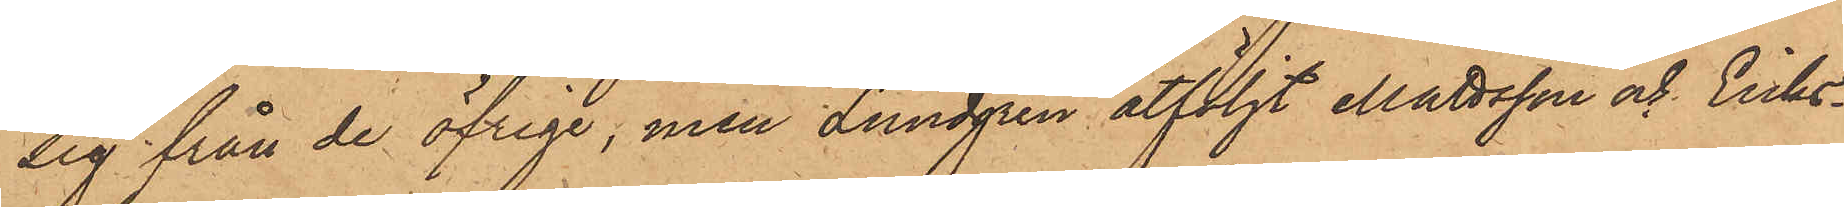sig från de öfriga, men Lundgren åtföljt Mattsson och Eriks¬
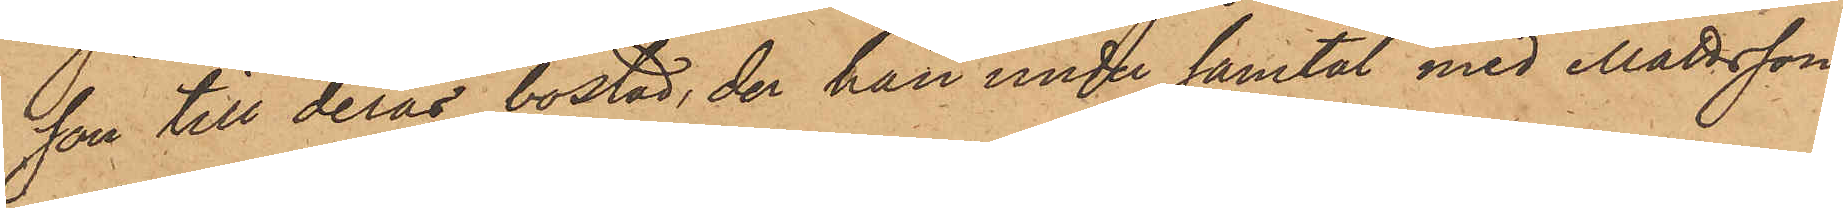son till deras bostad, der han under samtal med Mattsson
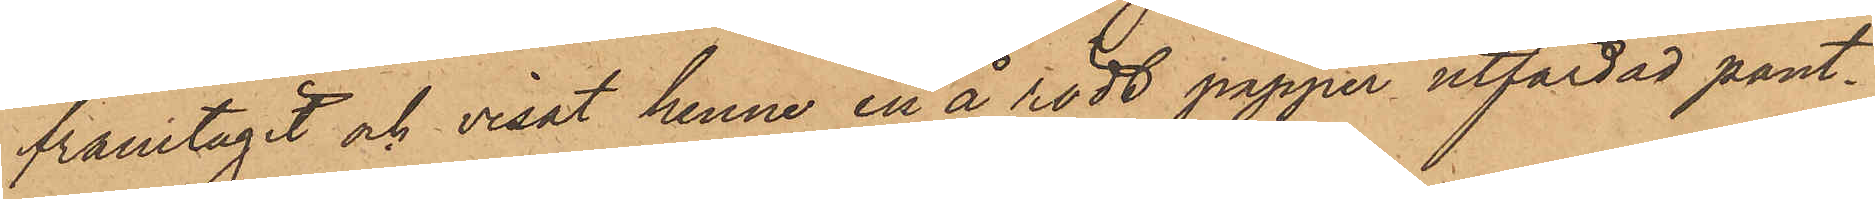framtagit och visat henne en å rödt papper utfärdad pant¬
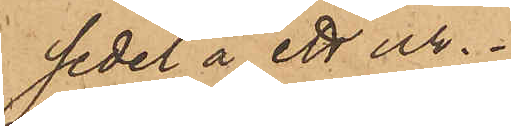sedel å ett ur.
